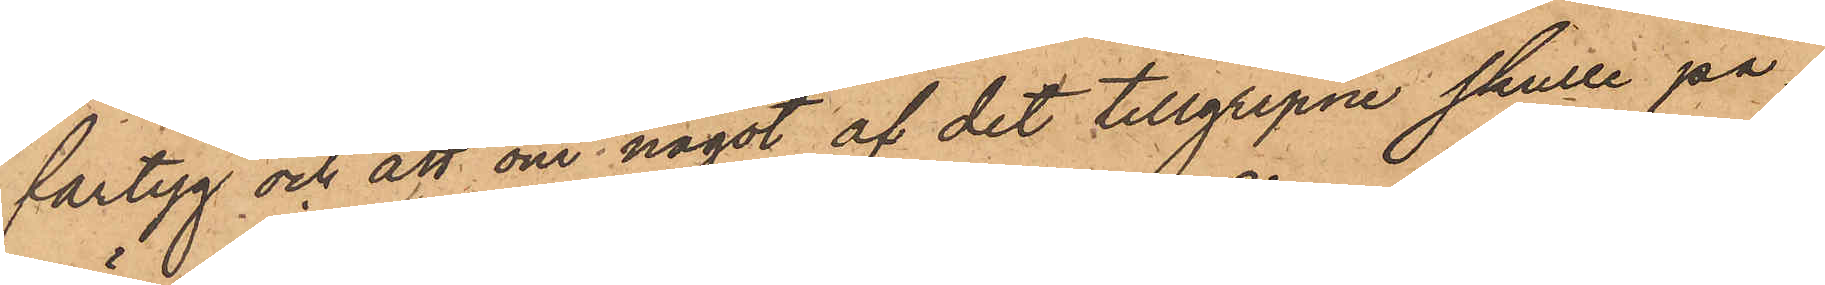fartyg och att om något af det tillgripne skulle på¬
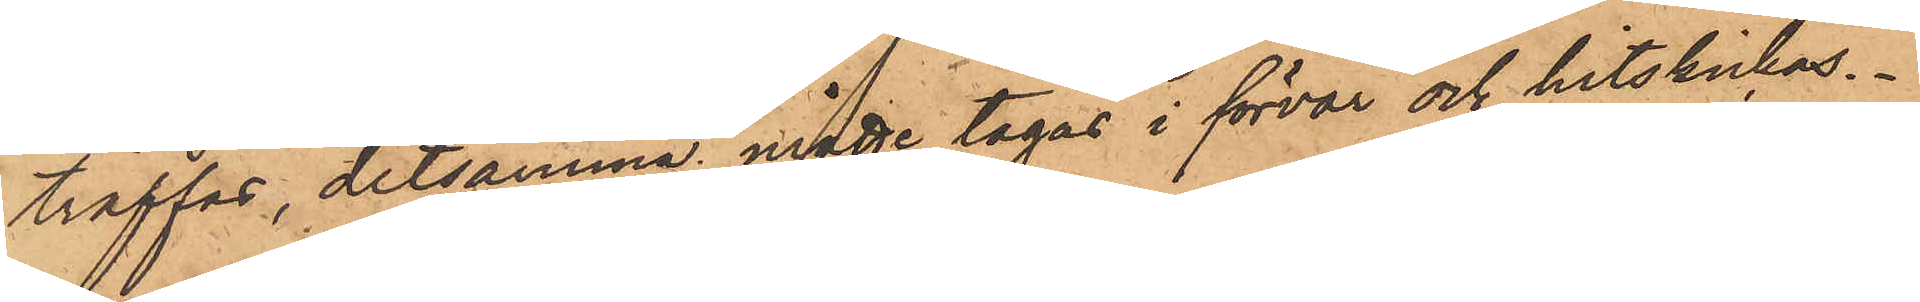träffas, detsamma måtte tagas i förvar och hitskickas.
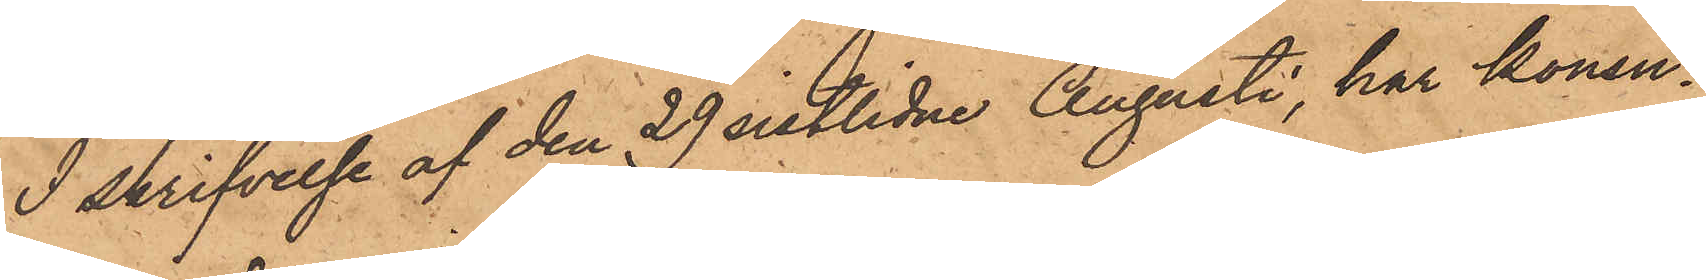I skrifvelse af den 29 sistlidne Augusti, har konsu¬
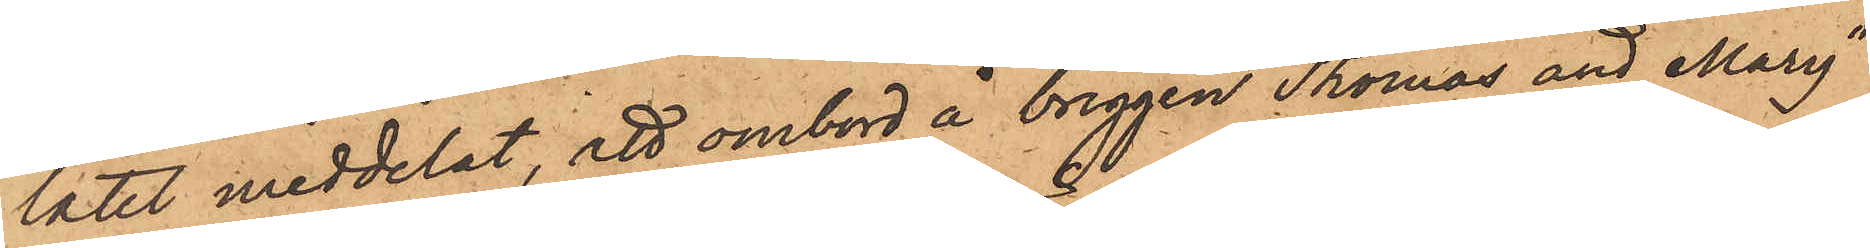latet meddelat, att ombord å briggen "Thomas and Mary"
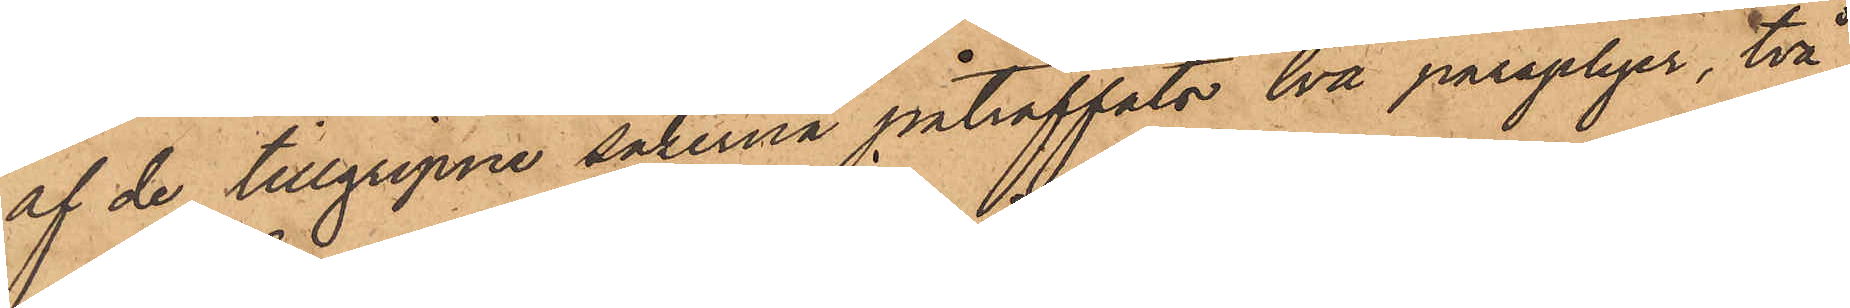af de tillgripne sakerna påträffats två paraplyer, två
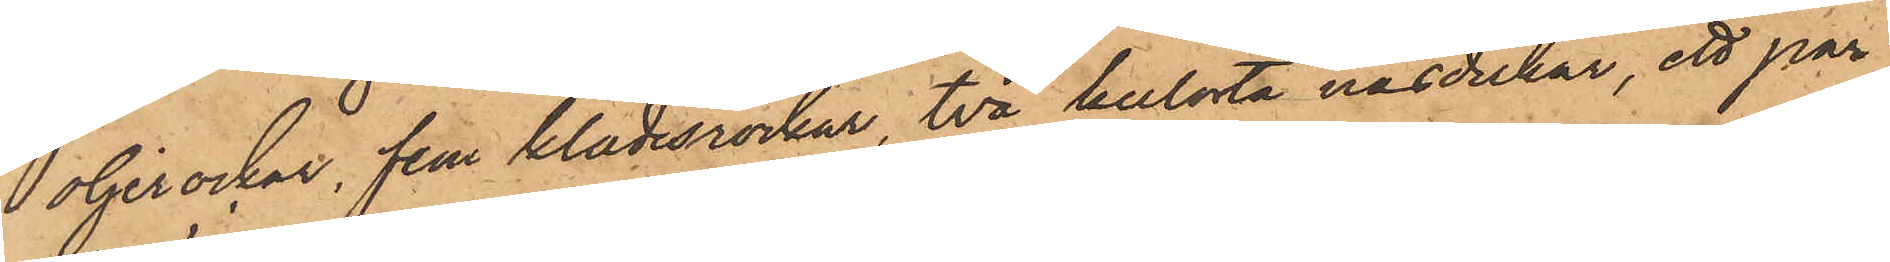 oljerockar, fem klädesrockar, två kulörta näsdukar, ett par
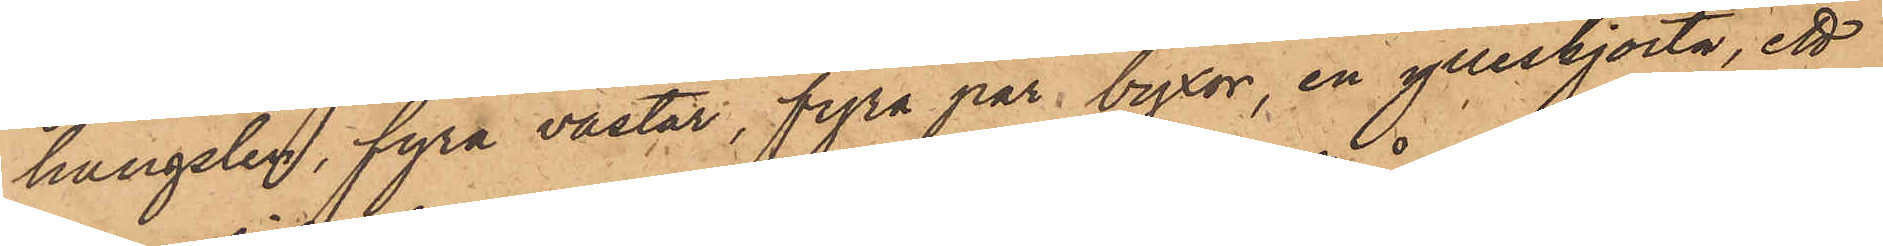hängslen, fyra västar, fyra par byxor, en ylleskjorta, ett
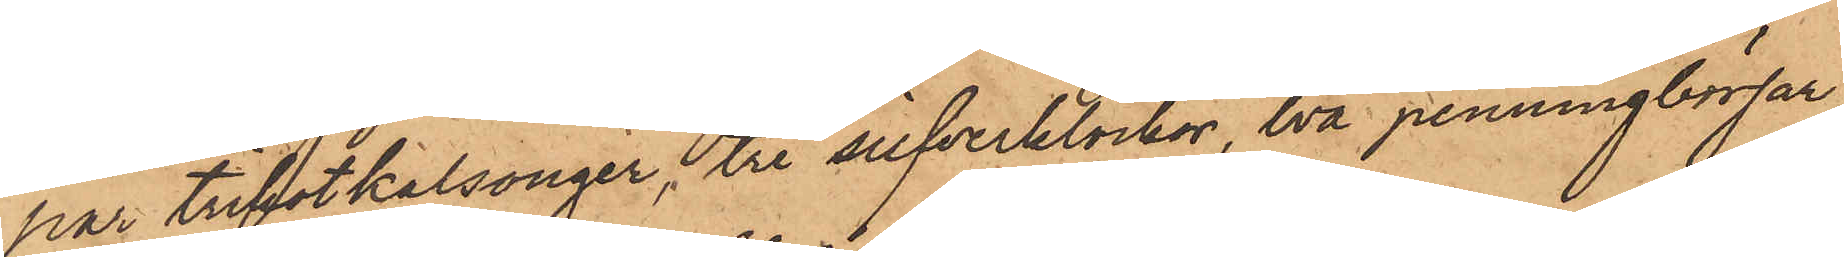par trikotkalsonger, tre silfverklockor, två penningbörsar,
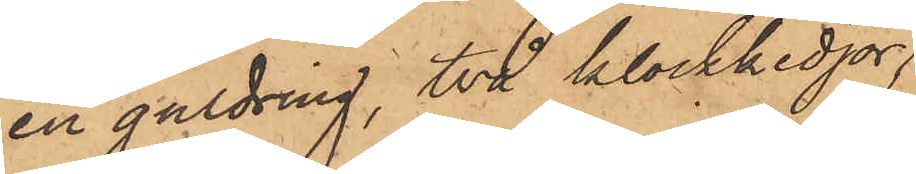en guldring, två klockkedjor;
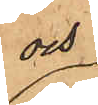och
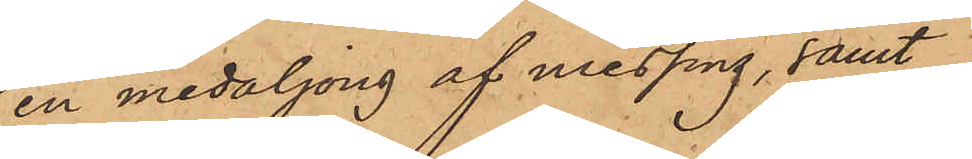en medaljong af messing, samt
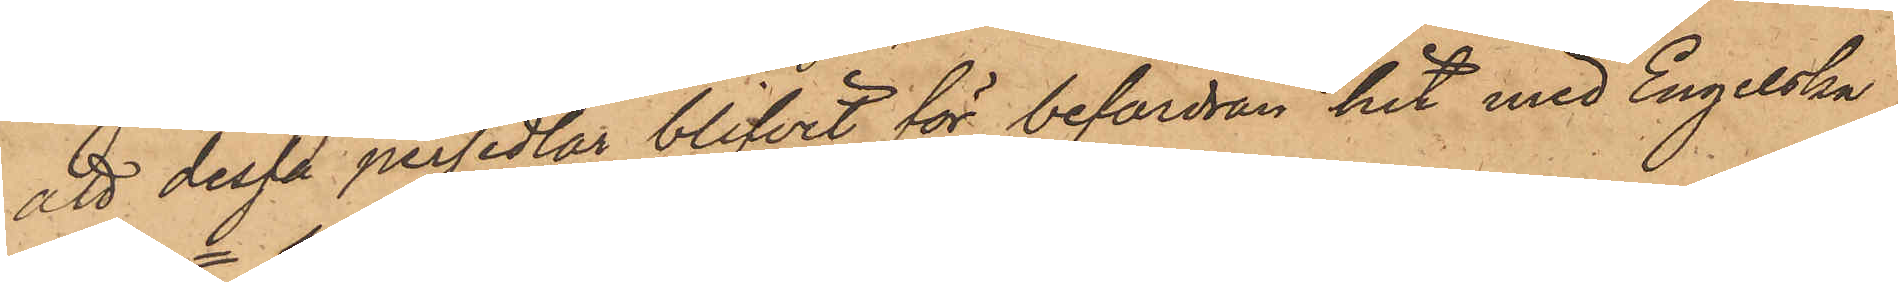att dessa persedlar blifvit för befordran hit med Engelska
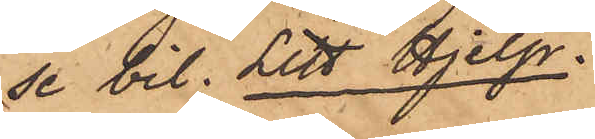se bil. Litt Hjelp.
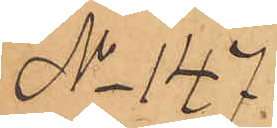No 147.
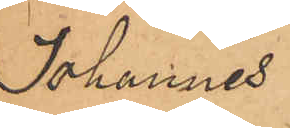Johannes
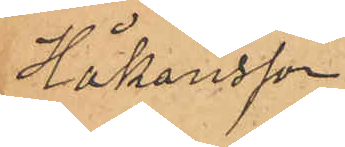Håkansson
